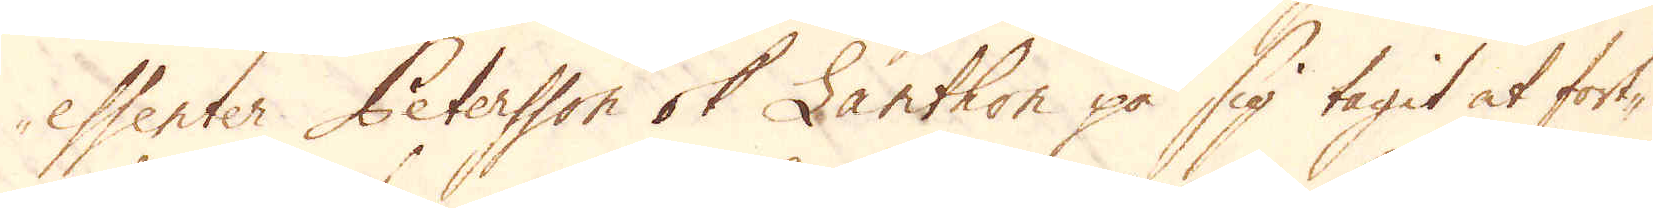essenter Petersson ok Lanthon på sig tagit at fort-
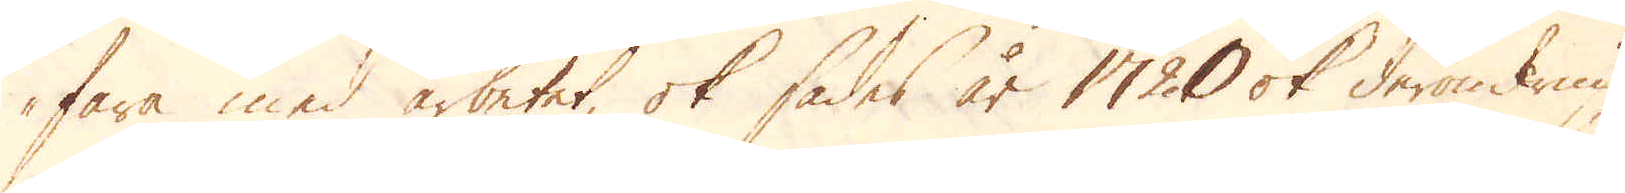fara med arbetet, ok sades år 1720 ok deromkring
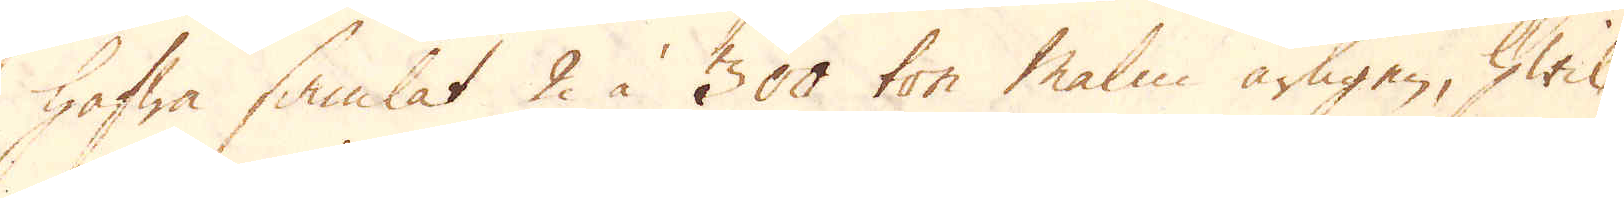hafwa samlat 2 à 300 ton Malm årligen, hwil-
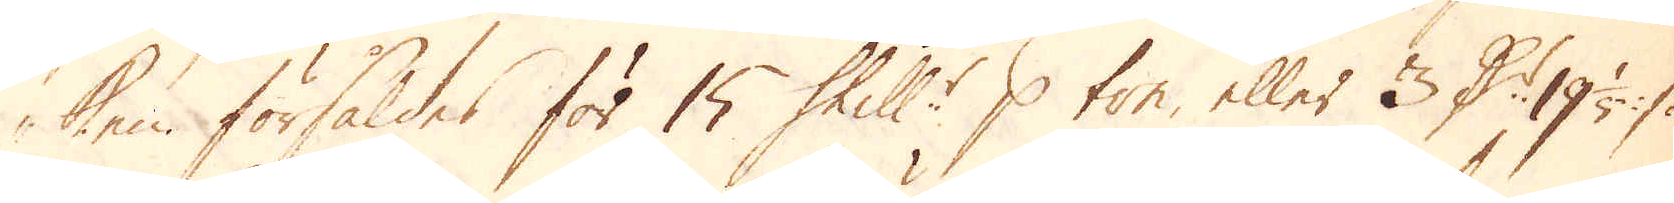ken försåldes för 15 Skill:r p ton, eller 3 D:r 19 1/5 :/:
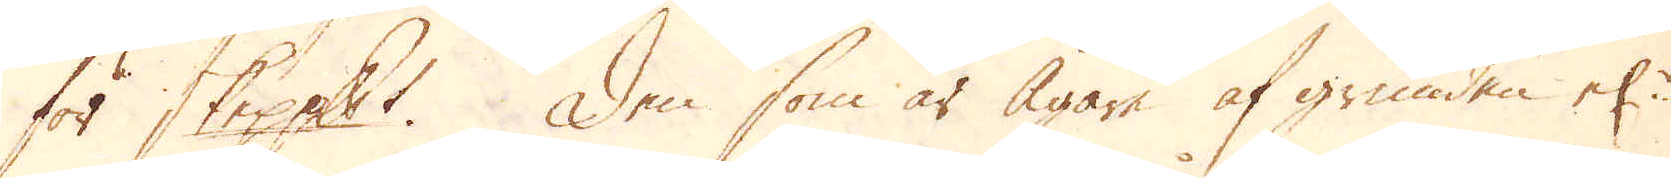för skeppundet. Den som är ägare af grunden el:r
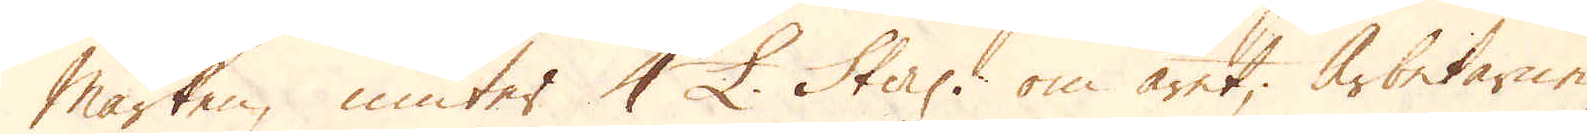marken, niuter 4 £. Sterl: om året; Arbetarne
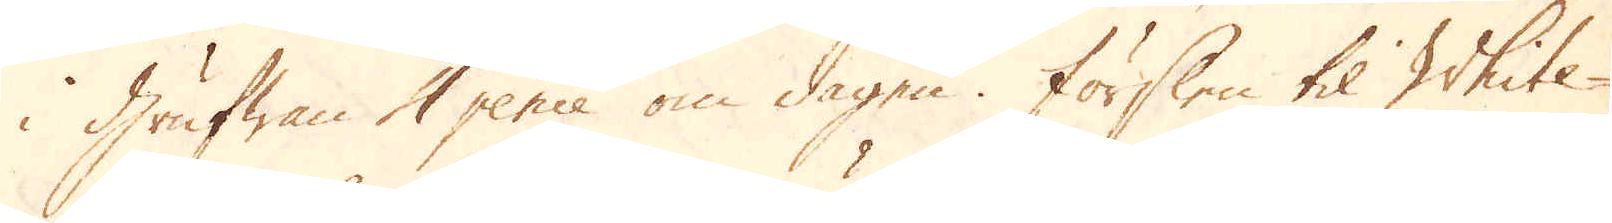i Grufwan 4 pence om dagen. Förslen til White- 
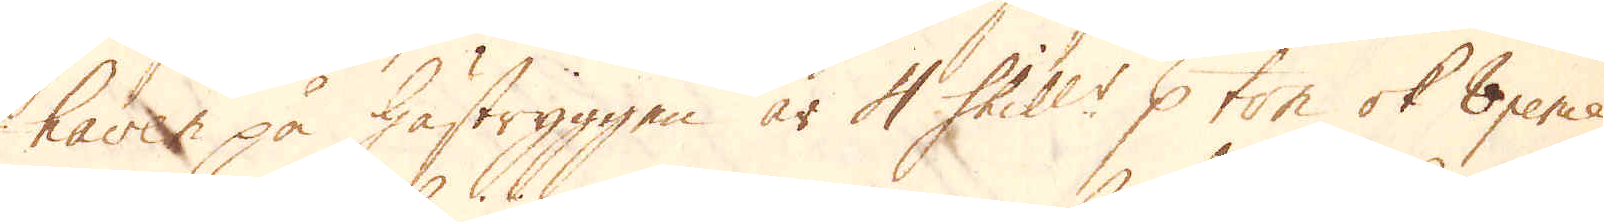haven på hästryggen är 4 Skill:r p ton ok 8 pence
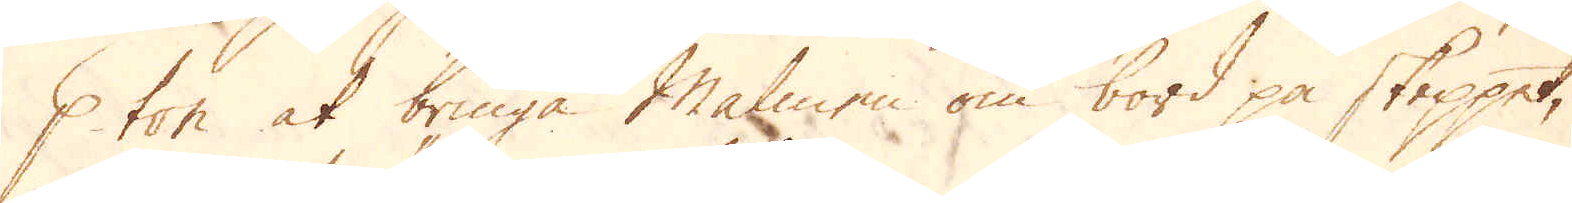p ton at bringa Malmen om bord på skeppet,
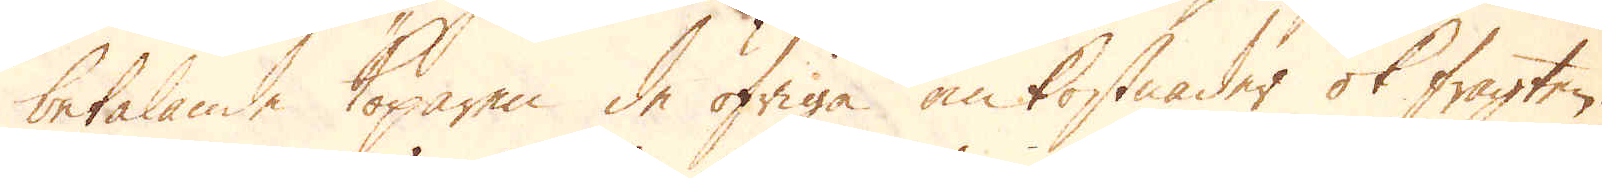betalande Köparen de öfriga omkostnader ok fragten.
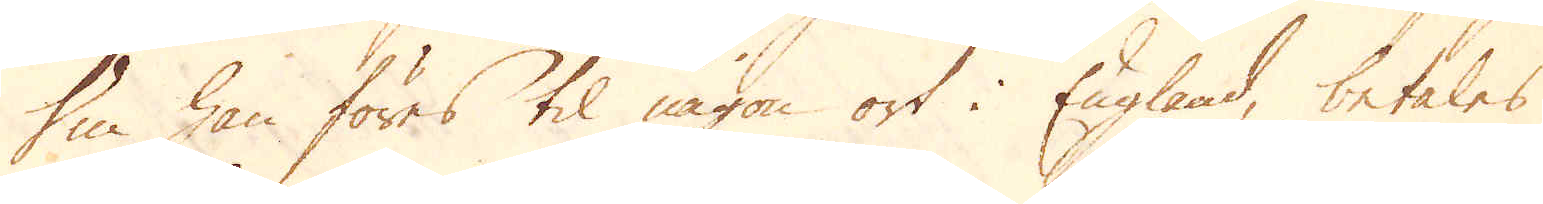Om han föres til någon ort i England, betalas
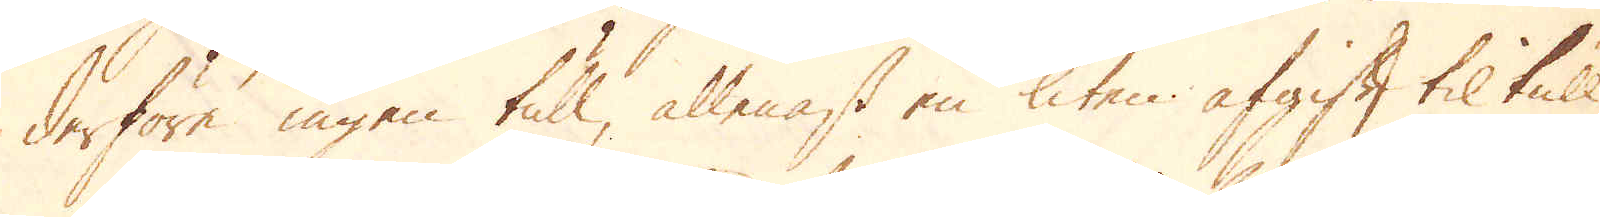derföre ingen tull, allenast en liten afgift til tull-
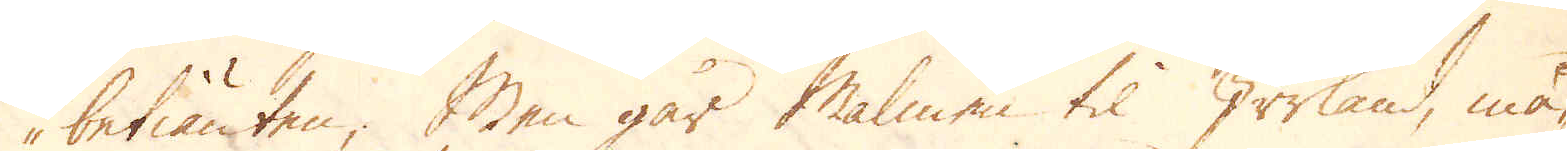betiänten; Men går Malmen til Irrland, må-
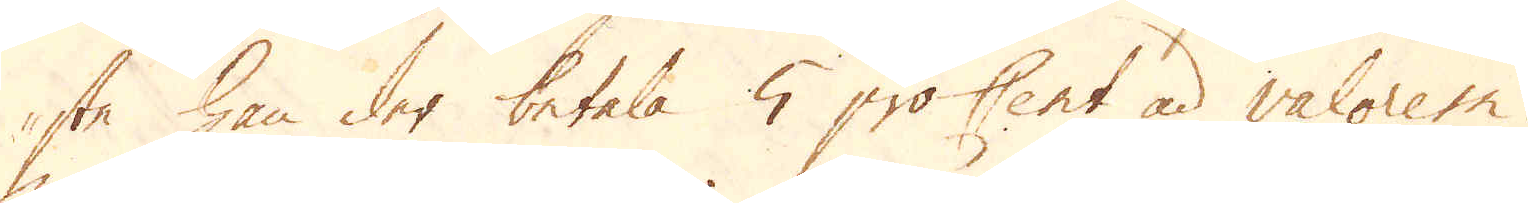ste han der betala 5 proCent ad valorem.
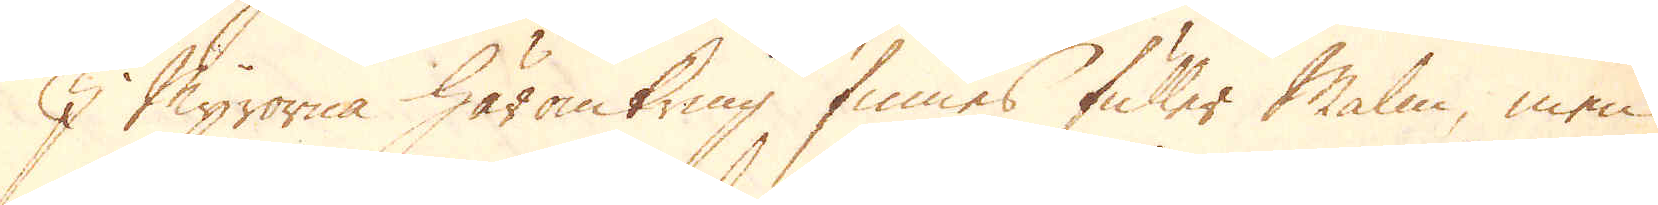I Myrorne häromkring finnes fuller Malm, men
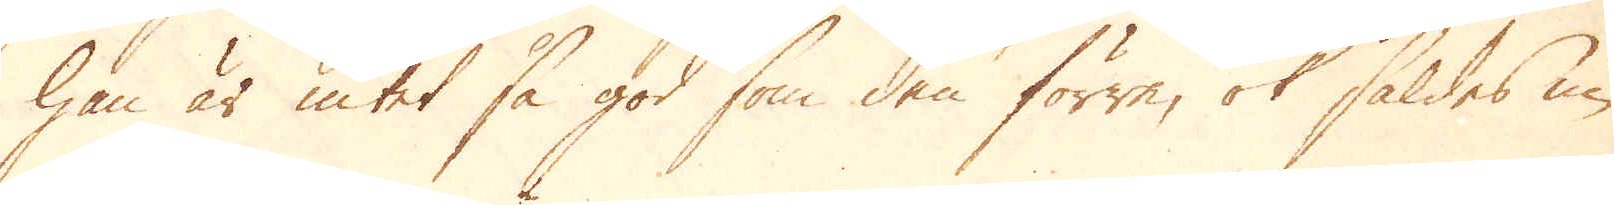han är intet så god som den förre, ok såldes nu
